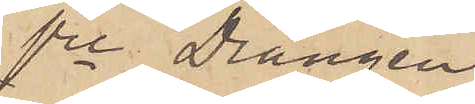fre Drängen
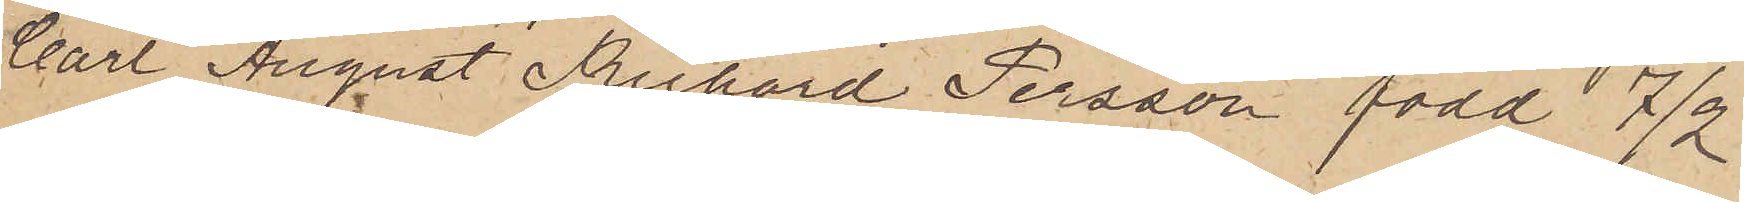Carl August Richard Persson, född 7/2
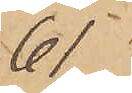61
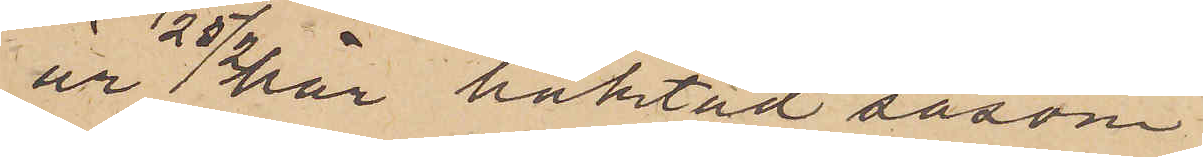är 25/2 här häktad såsom
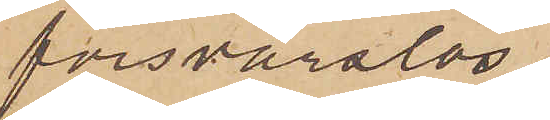försvarslös.
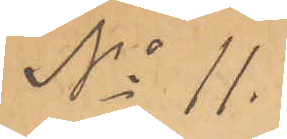No 11.
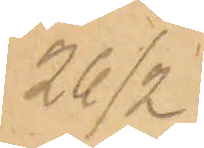26/2
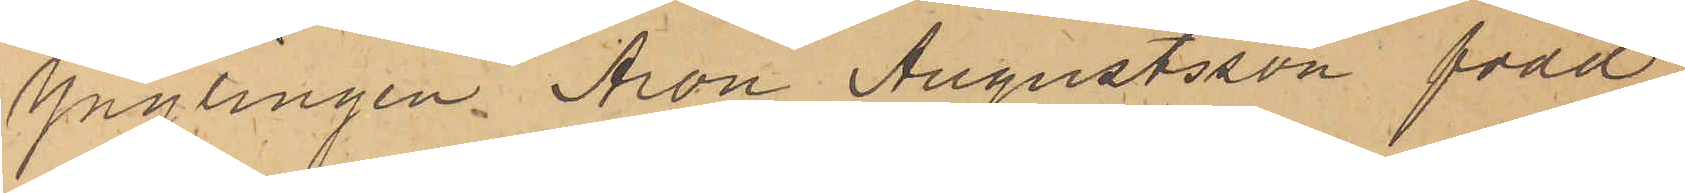Ynglingen Aron Augustsson född
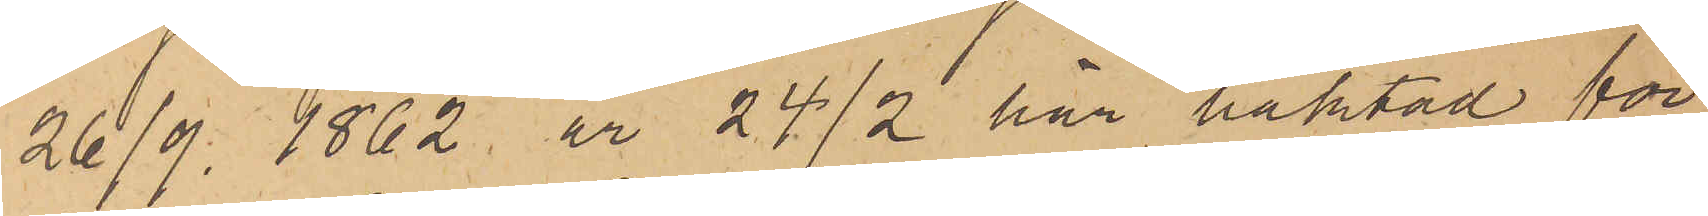26/9 1862 är 24/2 här häktad för
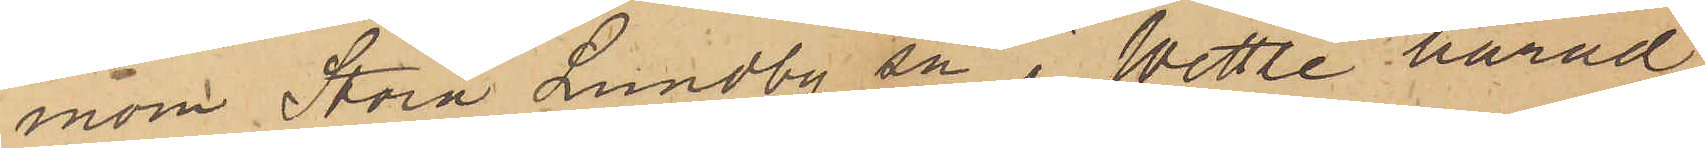inom Stora Lundby sn i Wettle härad
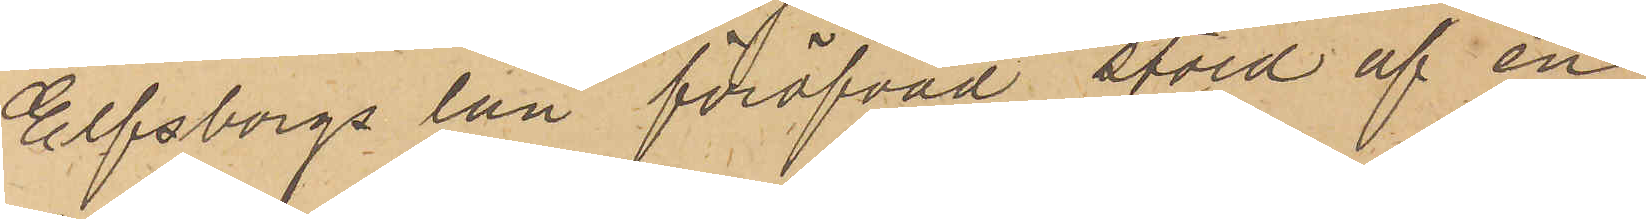Elfsborgs län föröfvad stöld af en
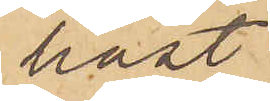häst.
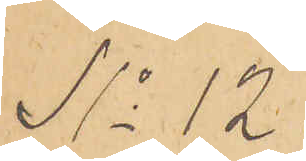No 12.
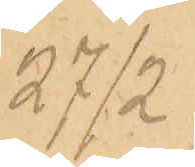27/2
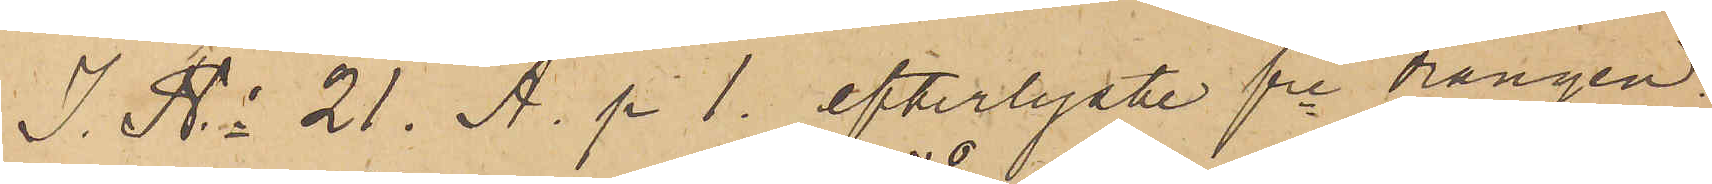I. No 21. A. p. 1. efterlyste fre drängen
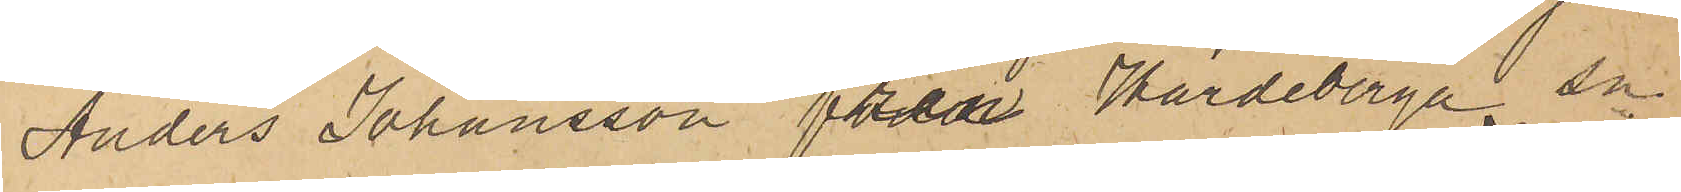Anders Johansson från Hardeberga sn
